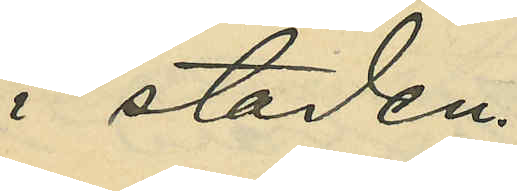i staden.
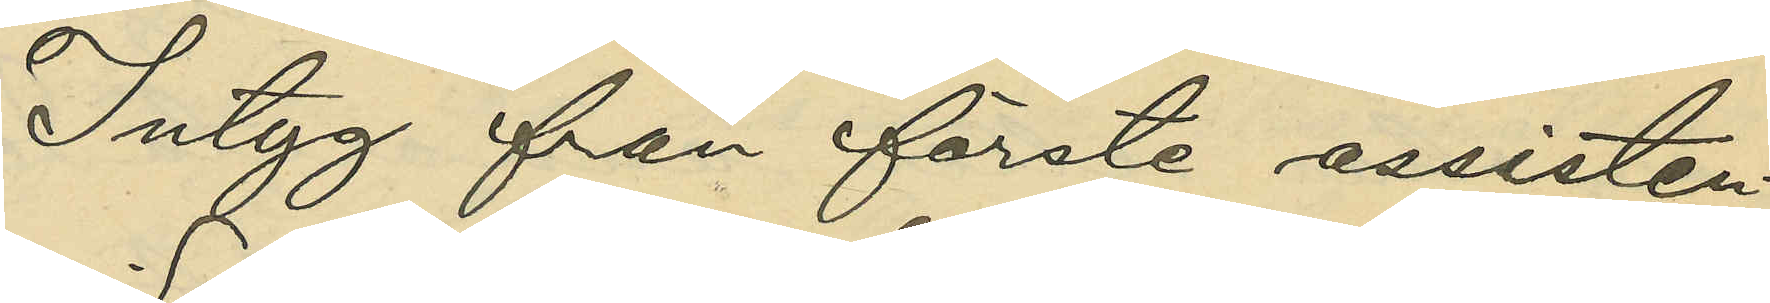Intyg från förste assisten¬
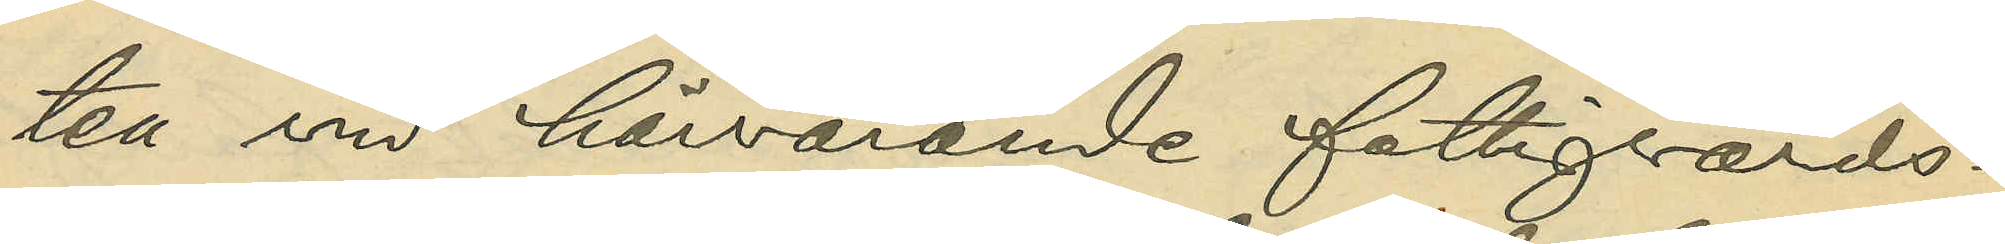ten vid härvarande fattigvårds¬
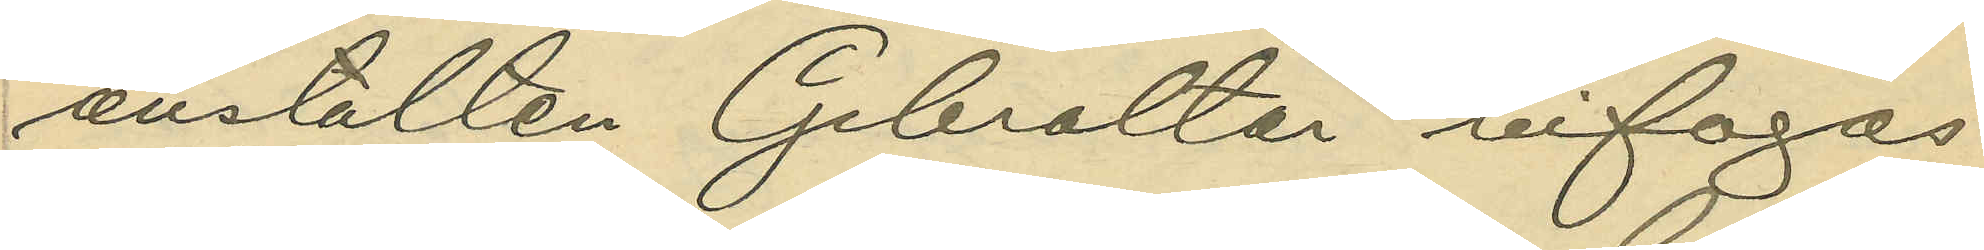anstalten Gibraltar bifogas.
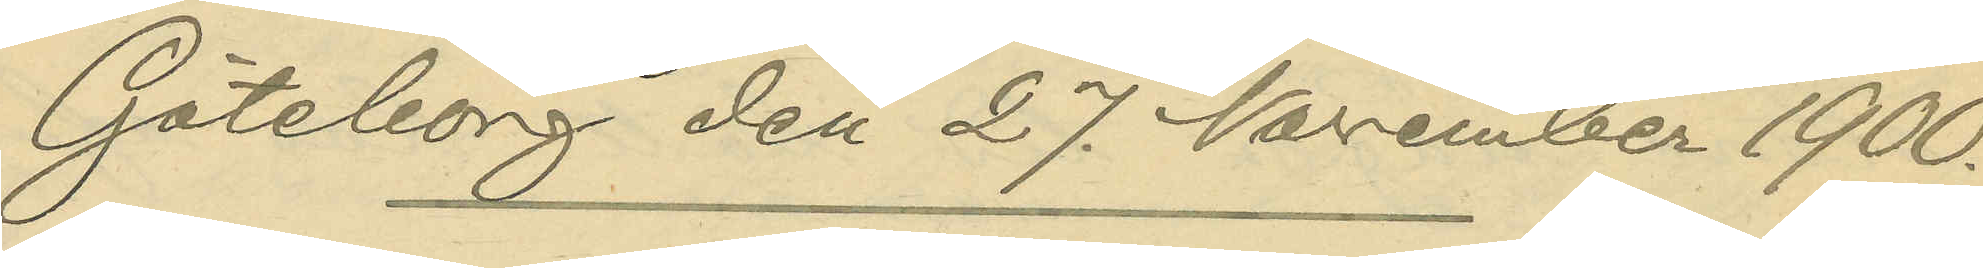Göteborg den 27. November 1900.
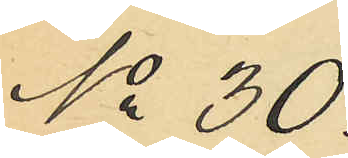No 30.
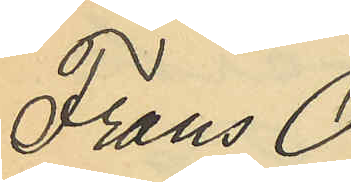Frans O¬
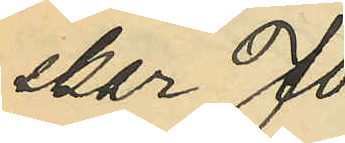skar Jo¬
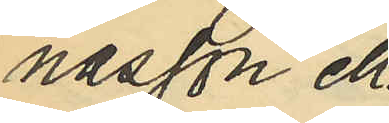nasson ell.
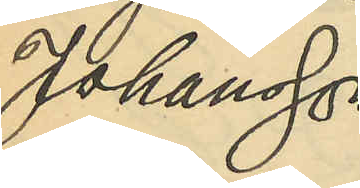Johansson
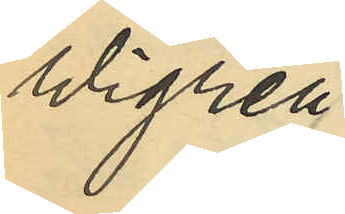Wigren.
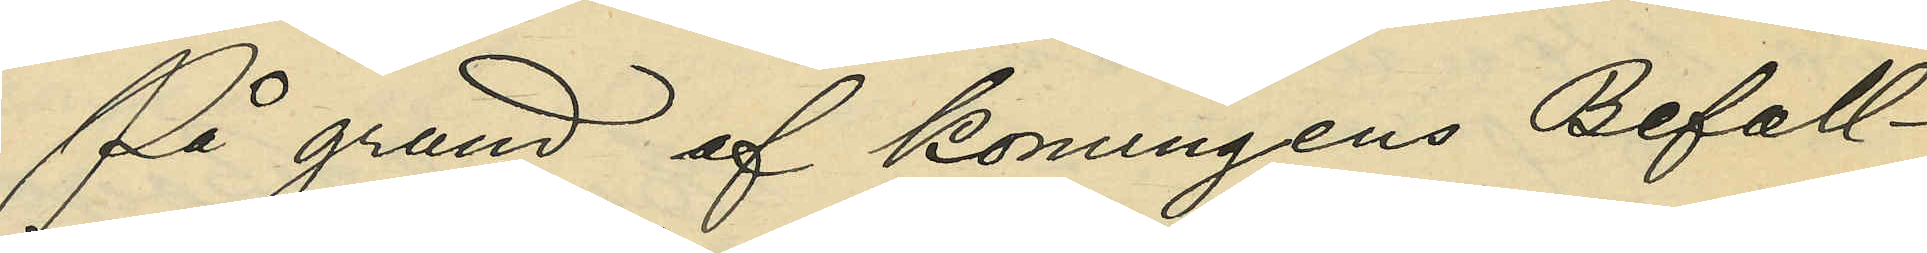På grund af Konungens Befall¬
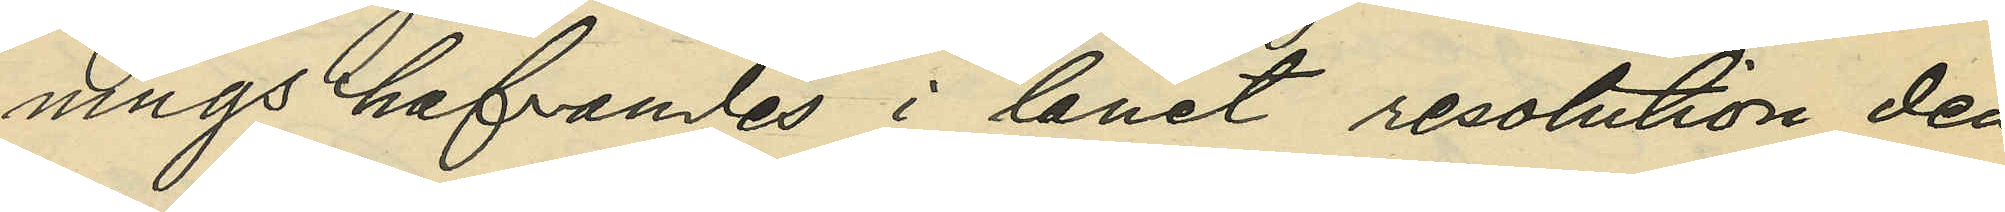ningshafvandes i länet resolution den
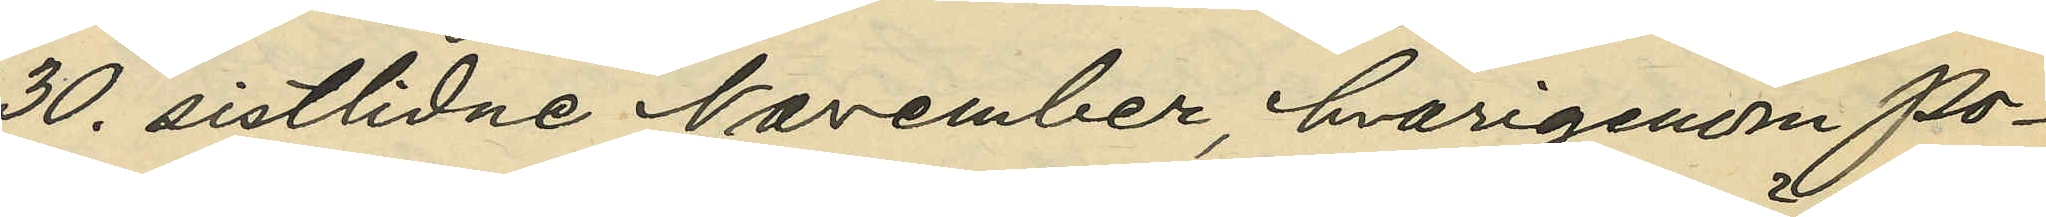30. sistlidne November, hvarigenom Po¬
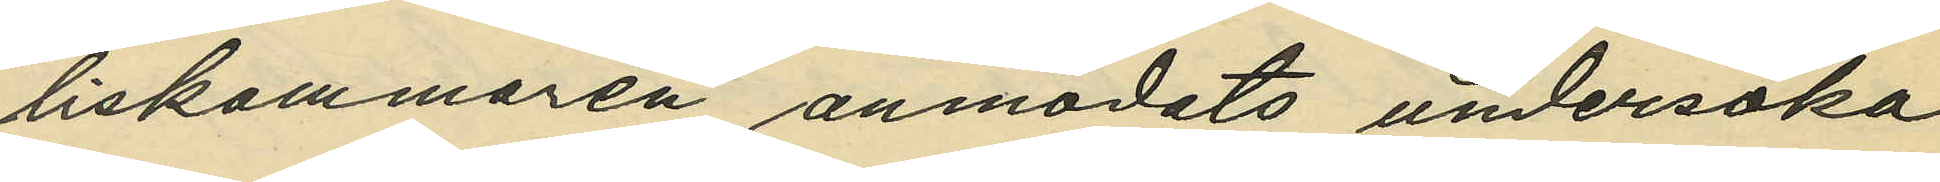liskammaren anmodats undersöka
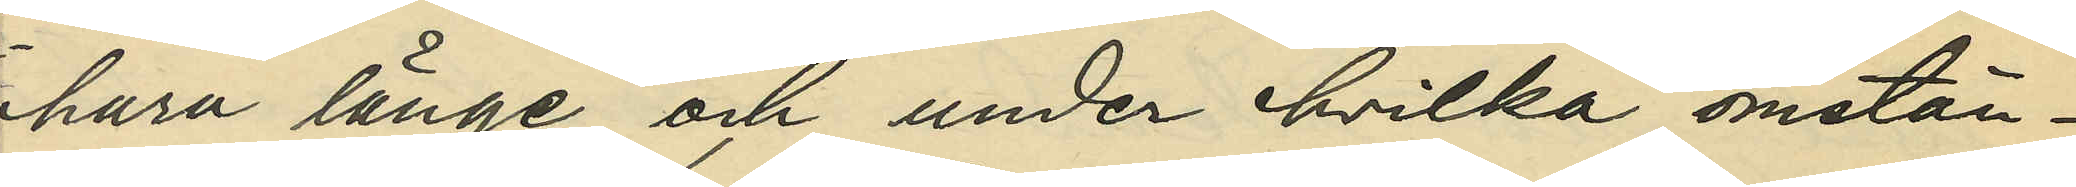huru länge och under hvilka omstän¬
